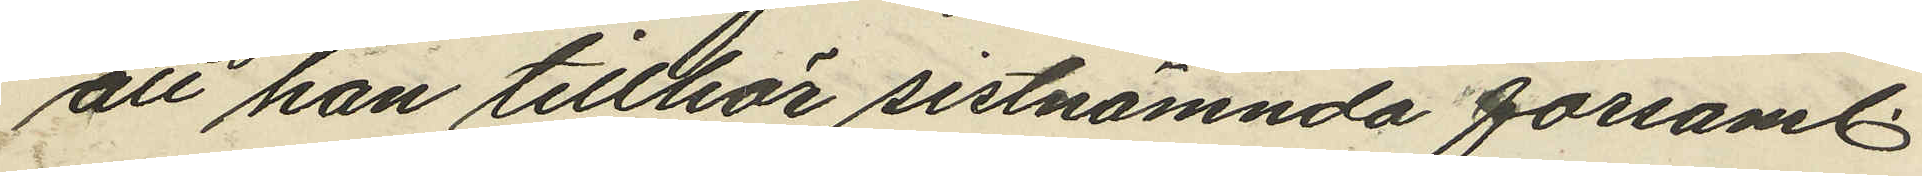att han tillhör sistnämnda församl.
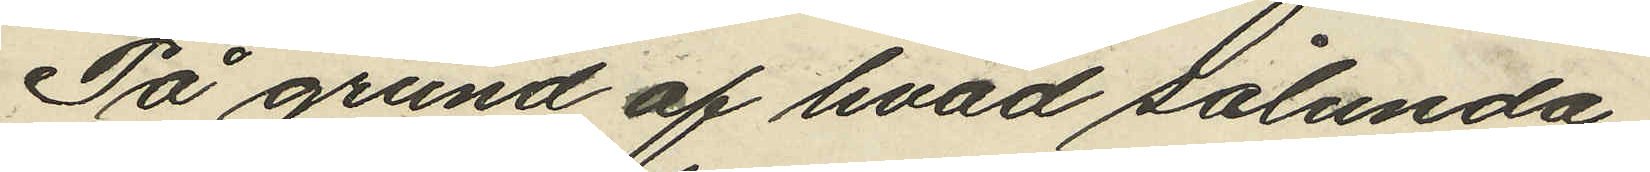På grund af hvad sålunda
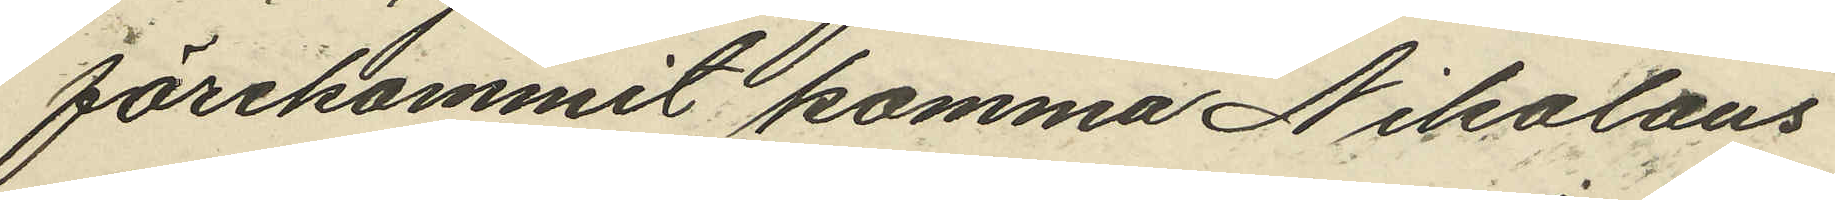förekommit komma Nikolaus
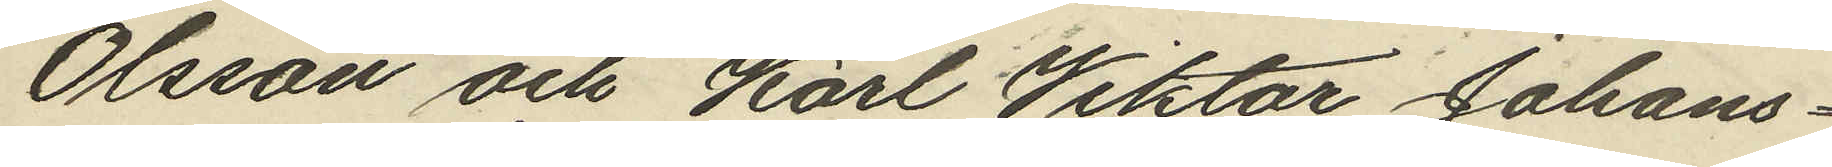Olsson och Karl Viktor Johans¬
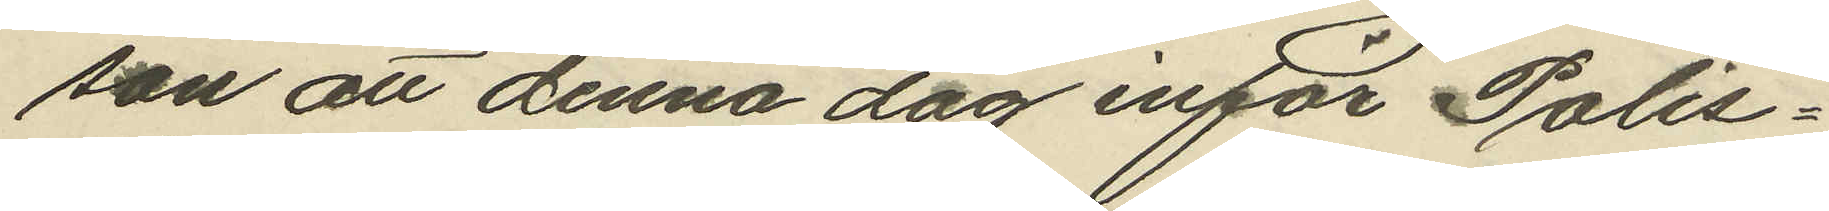son att denna dag inför Polis¬
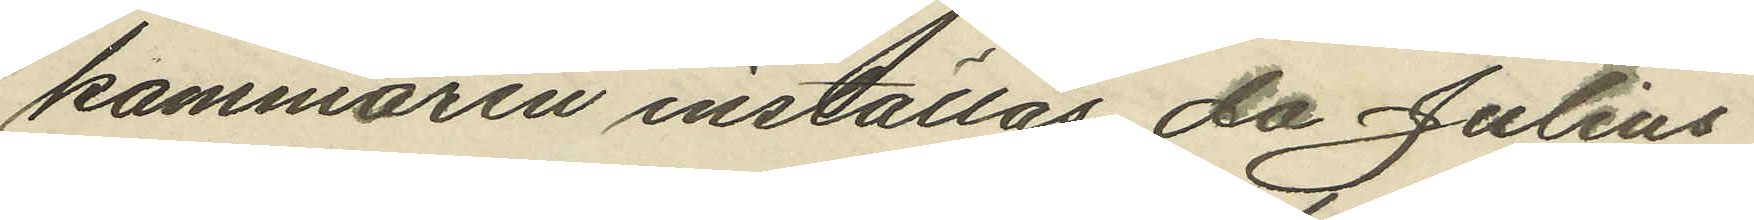kammaren inställas, då Julius
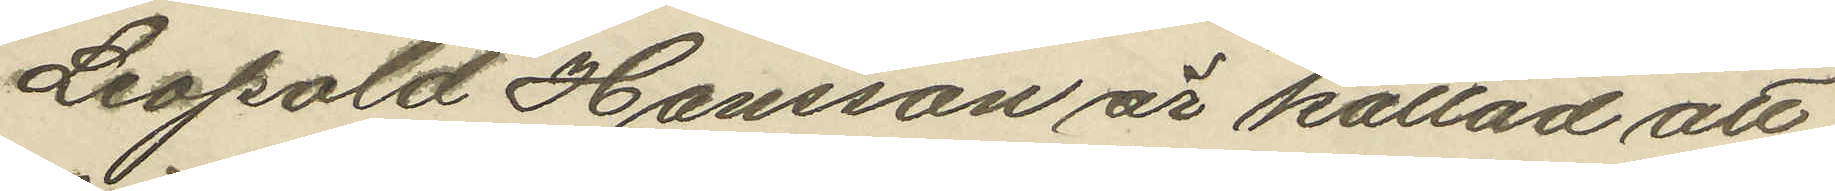Leopold Hansson är kallad att
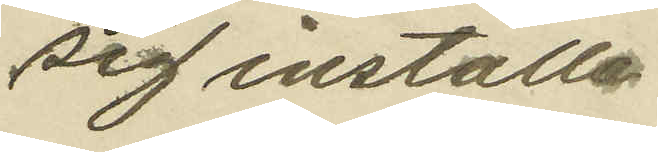sig inställa.
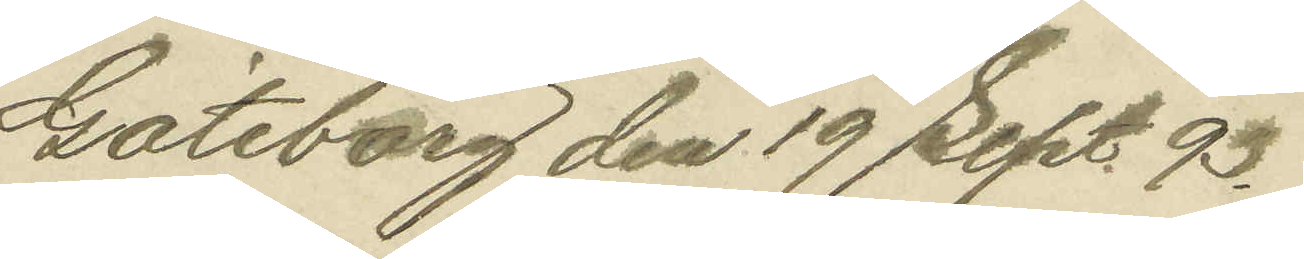Göteborg den 19 Sept. 93.
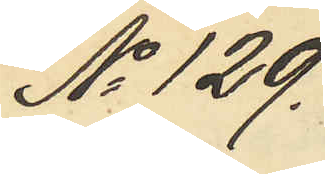No 129.
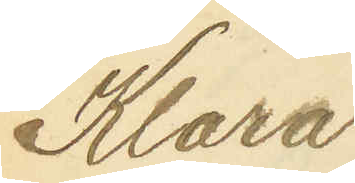Klara
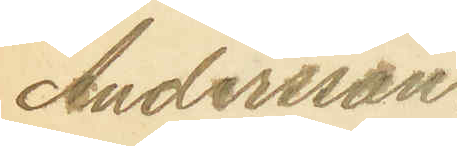Andersson.
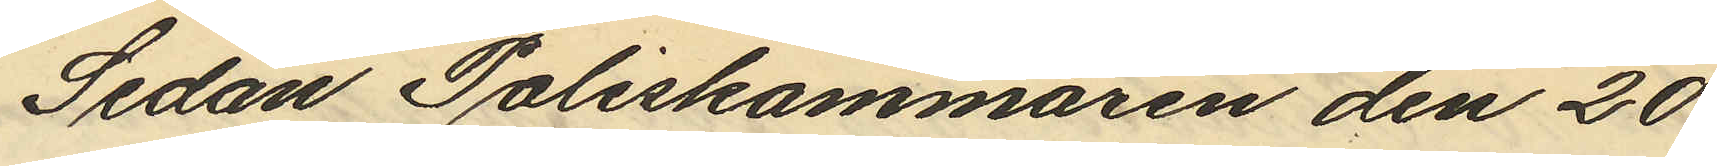Sedan Poliskammaren den 20
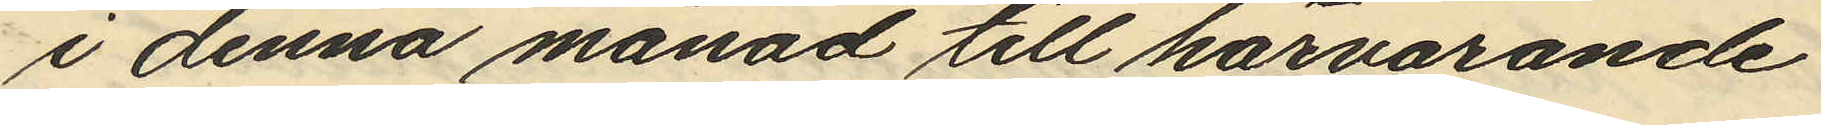i denna månad till härvarande
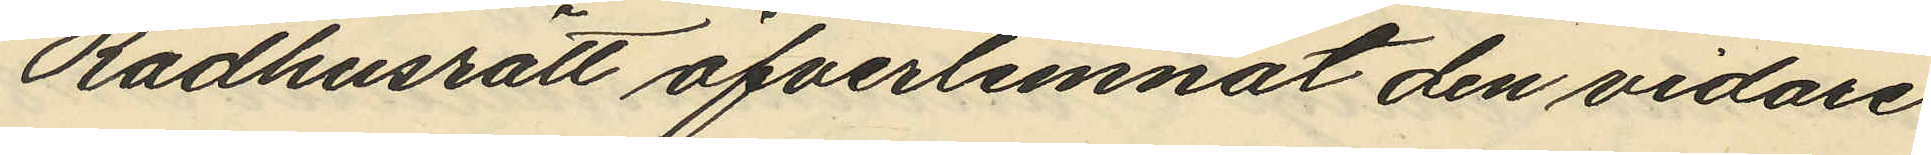Rådhusrätt öfverlemnat den vidare
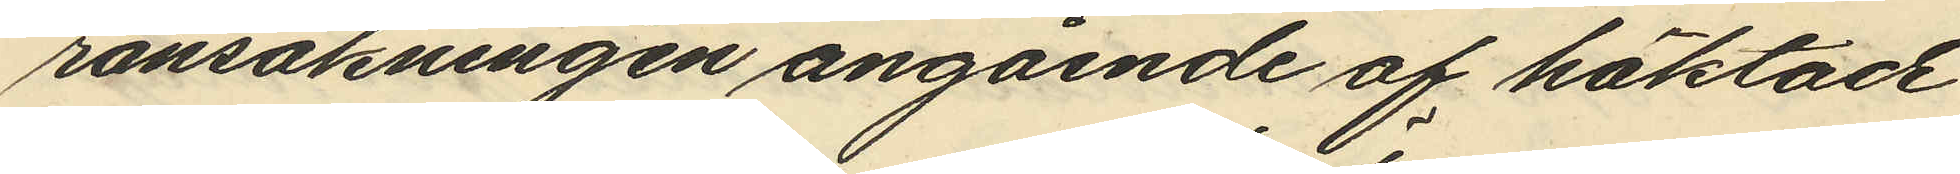ransakningen angående af häktade
